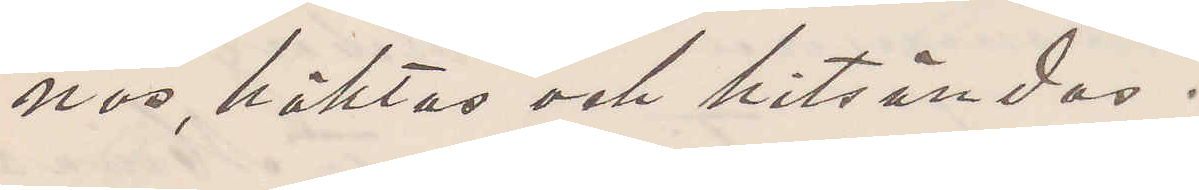nas, häktas och hitsändas.
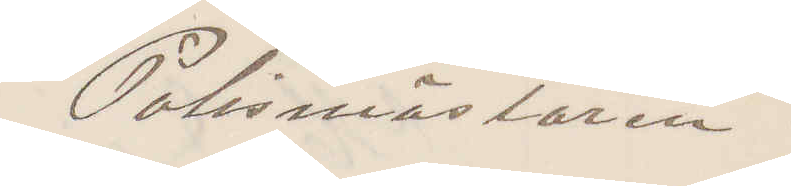Polismästaren.
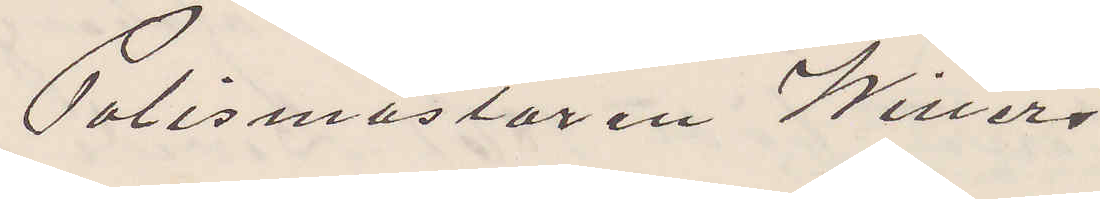Polismästaren Willers
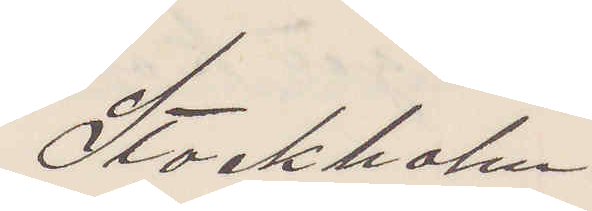Stockholm.
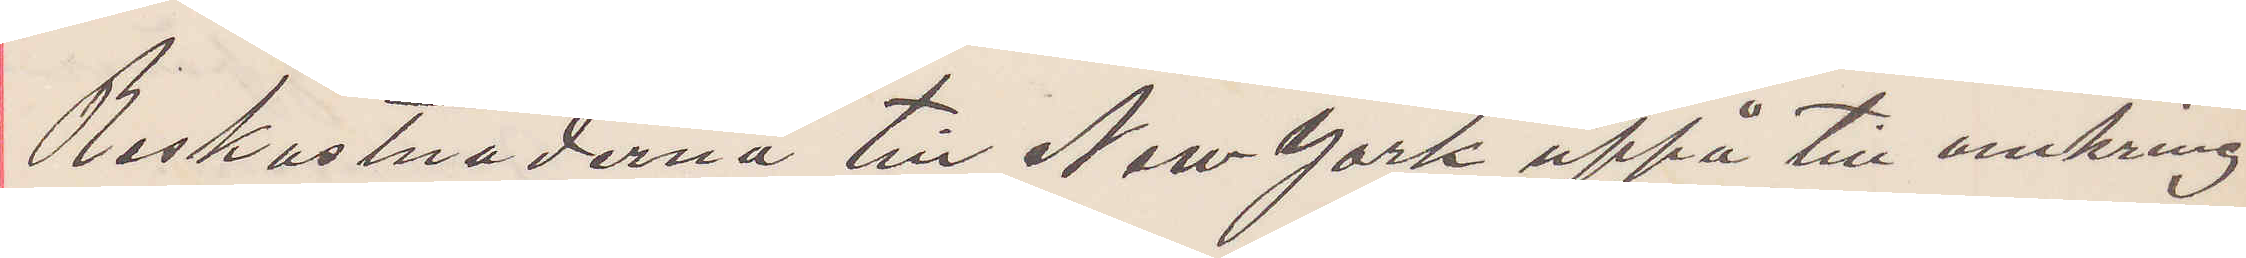Reskostnaderna till New York uppå till omkring
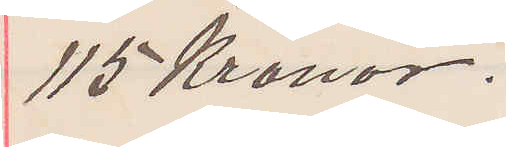115 Kronor.
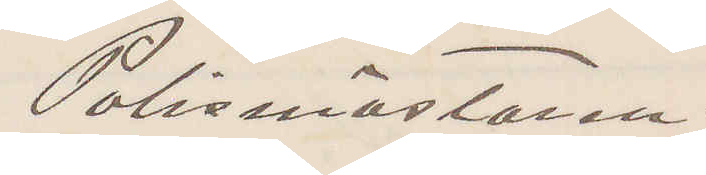Polismästaren.
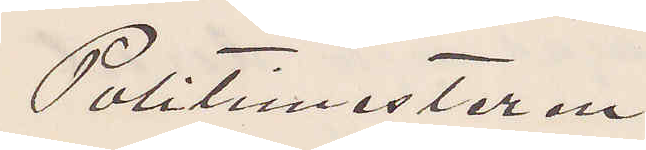Politimesteren
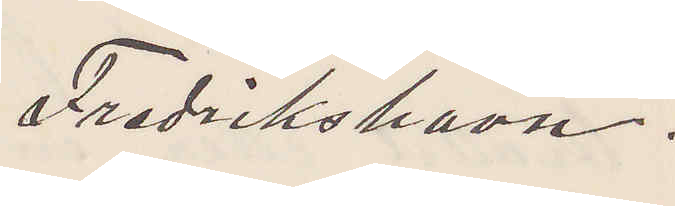Fredrikshavn.
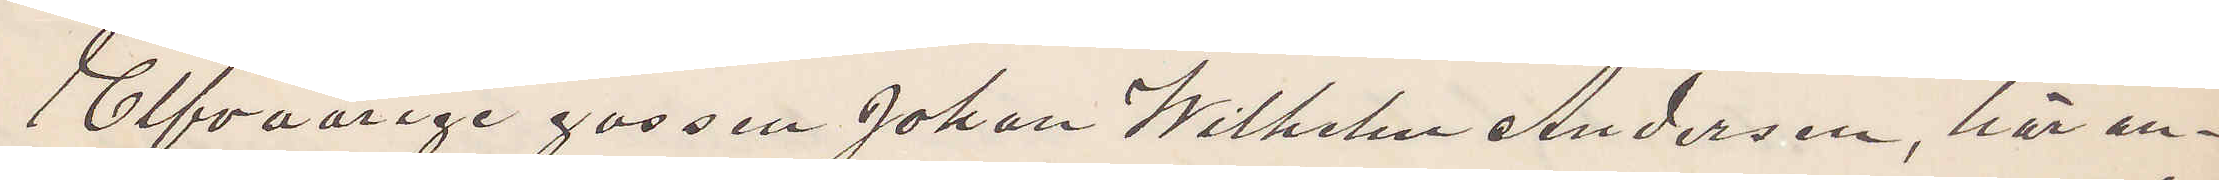Elfvaårige gossen Johan Wilhelm Andersen, här an¬
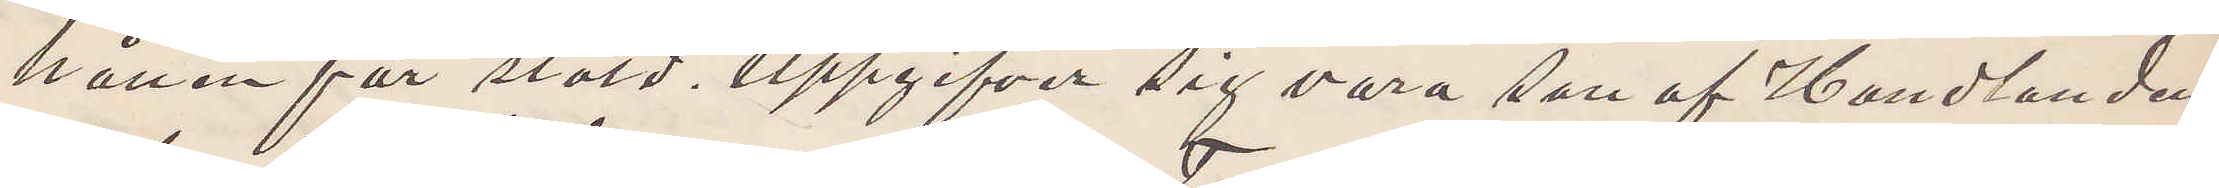hållen för stöld uppgifver sig vara son af Handlanden
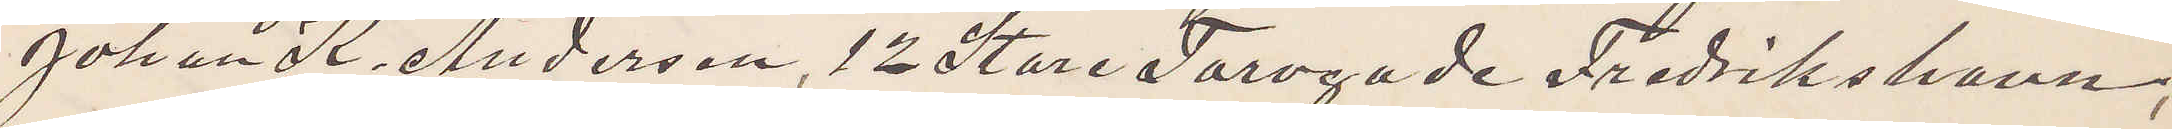Johan K. Anderson, 12 Store Torvgade Fredrikshavn,
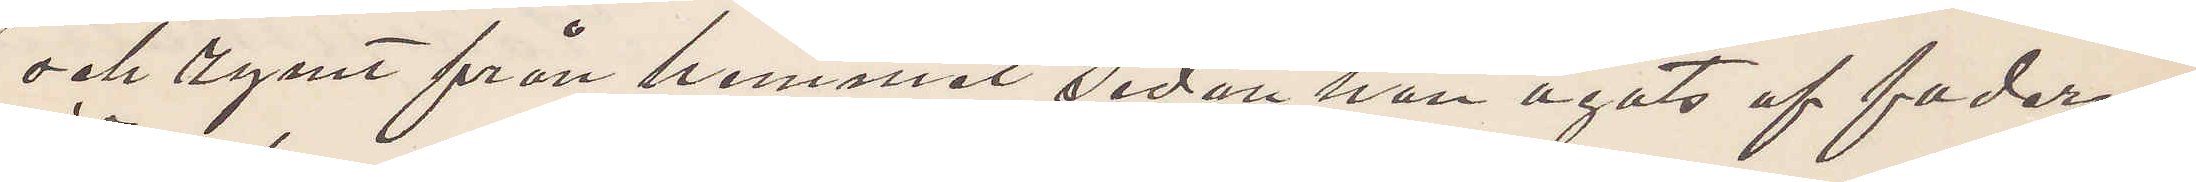och rymt från hemmet sedan han agats af fadern.
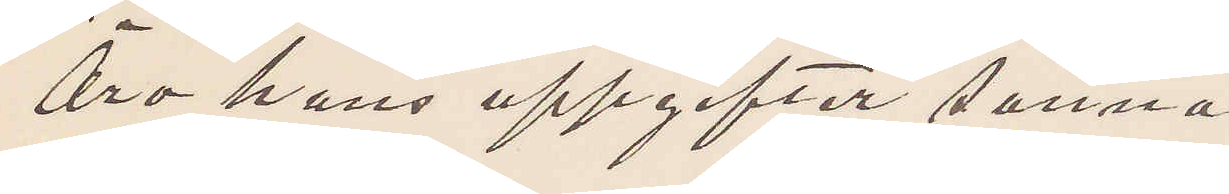Äro hans uppgifter sanna?
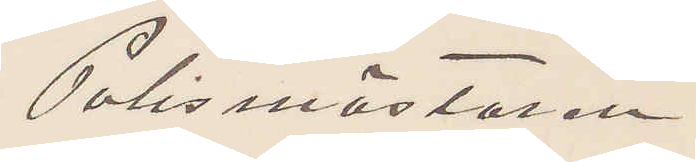Polismästaren
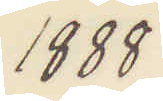1888.
